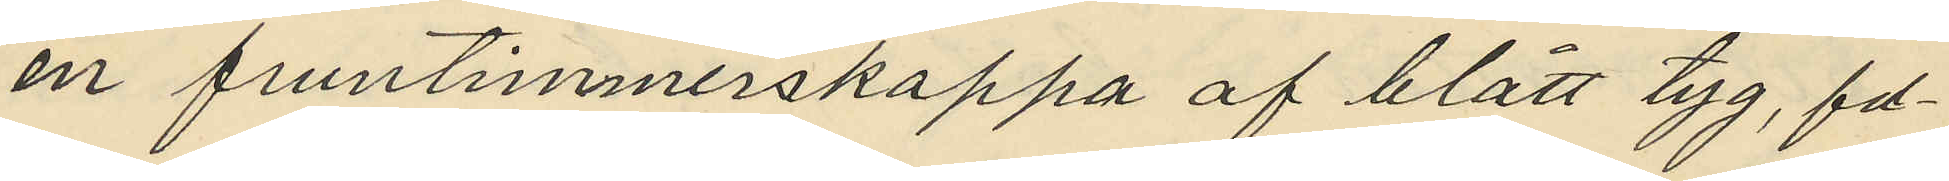en fruntimmerskappa af blått tyg, fod¬
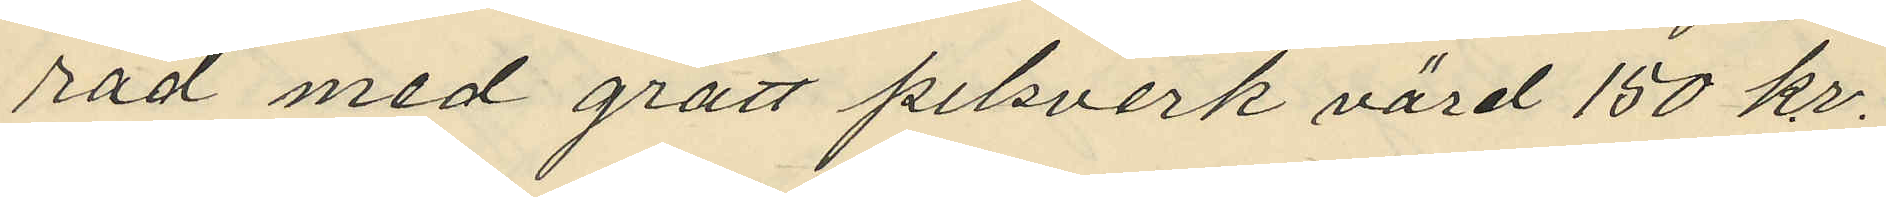rad med grått pelsverk värd 150 kr.
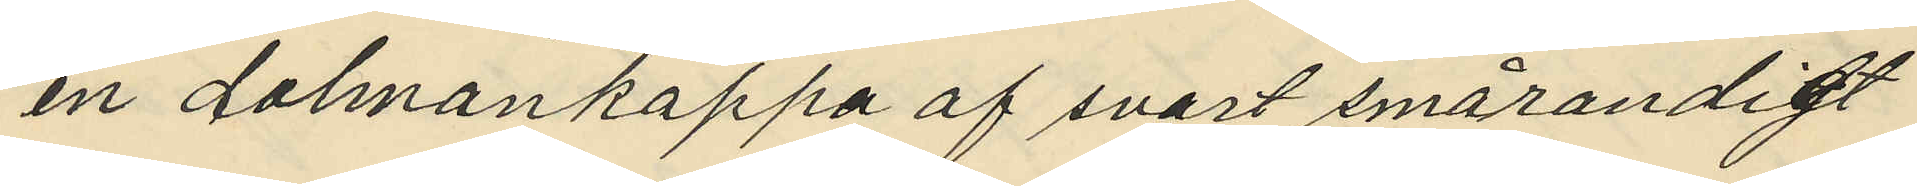en dalmankappa af svart smårandigt
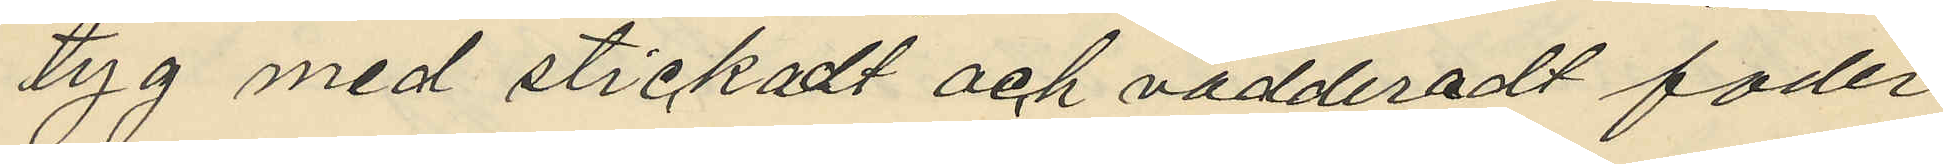tyg med stickadt och vädderadt foder
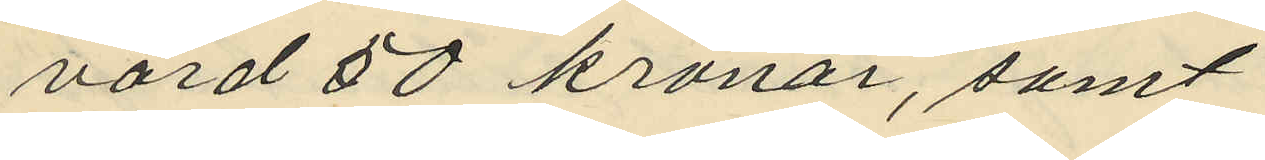värd 50 kronor, samt
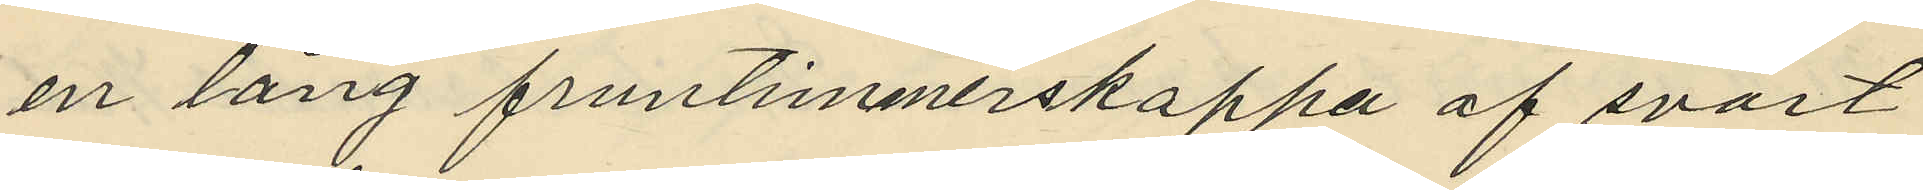en lång fruntimmerskappa af svart
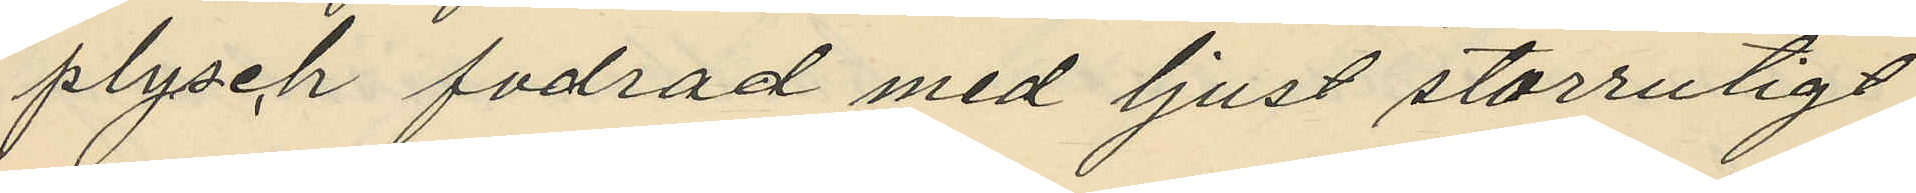plysch fodrad med ljust storrutigt
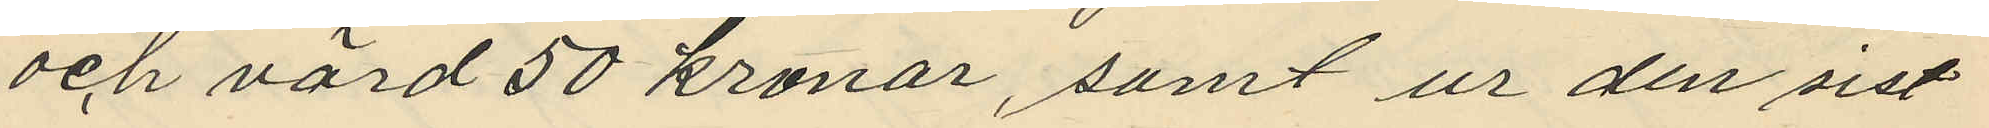och värd 50 kronor, samt ur den sist¬
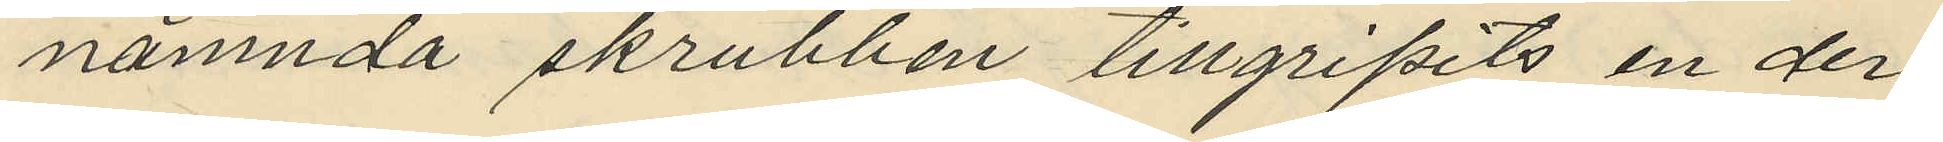nämnda skrubben tillgripits en der
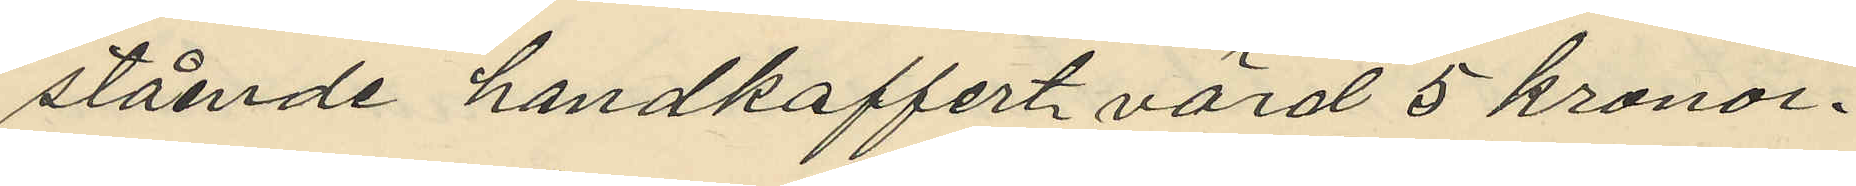stående handkoffert värd 5 kronor.
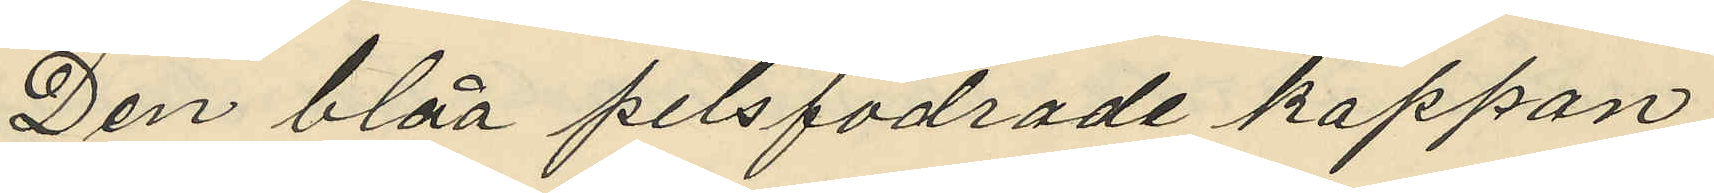Den blåa pelsfodrade kappan
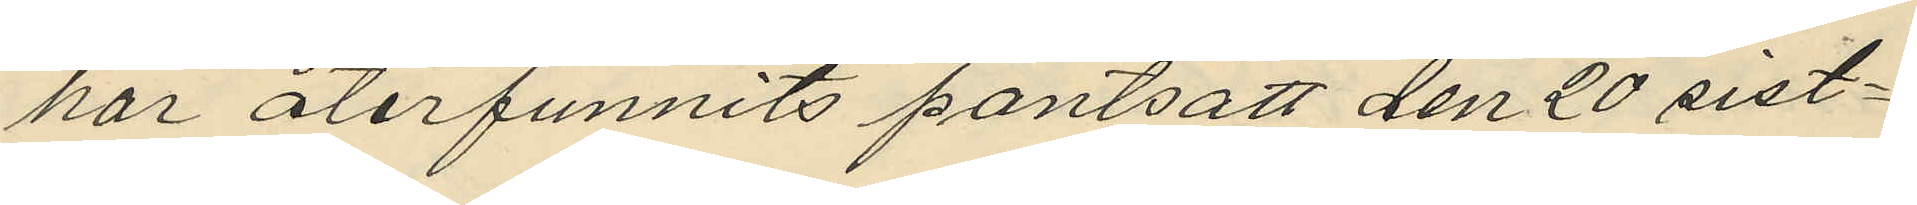har återfunnits pantsatt den 20 sist¬
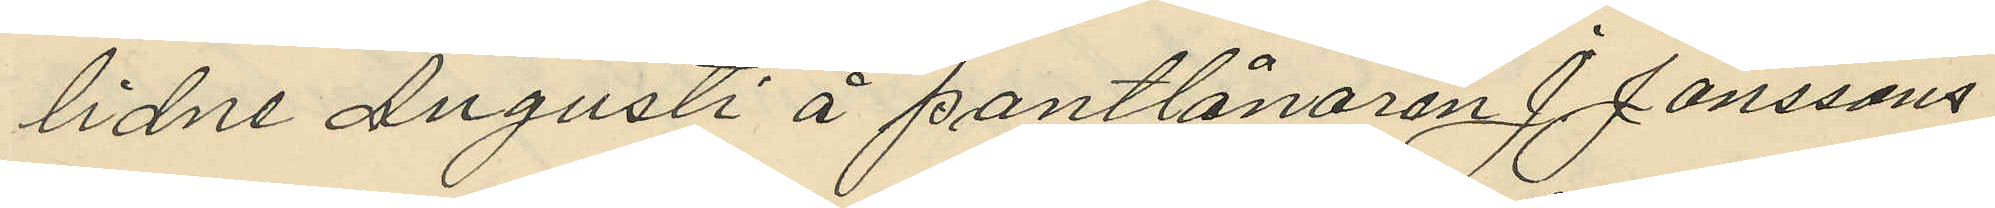lidne Augusti å pantlånaren J Janssons
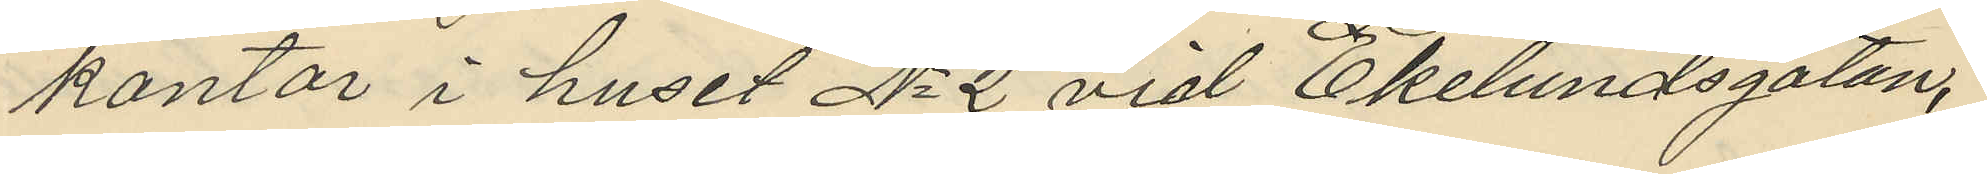kontor i huset No 2 vid Ekelundsgatan,
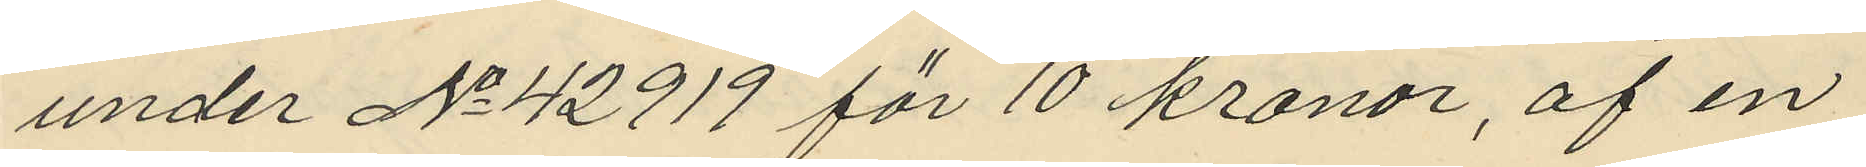under No 42919 för 10 kronor, af en
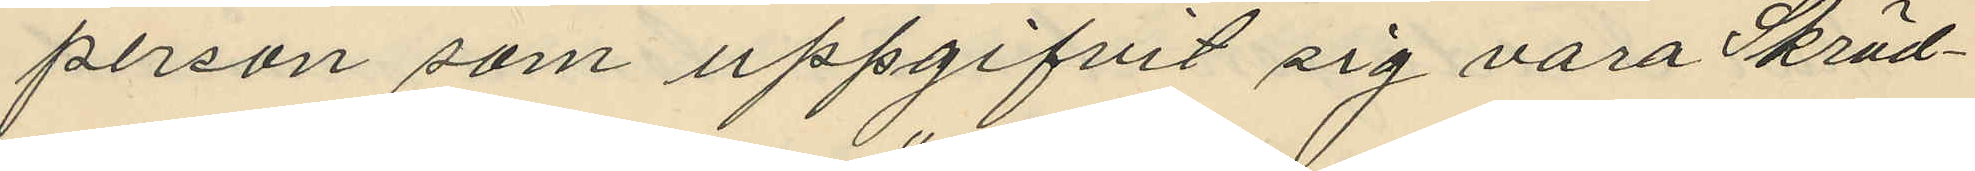person som uppgifvit sig vara Skräd¬
